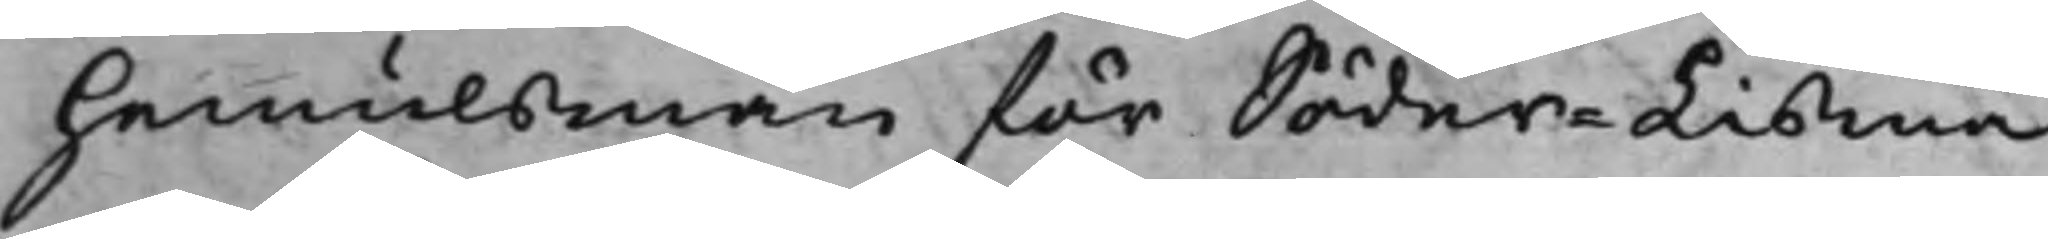hemulsmän för Söder-Lisma
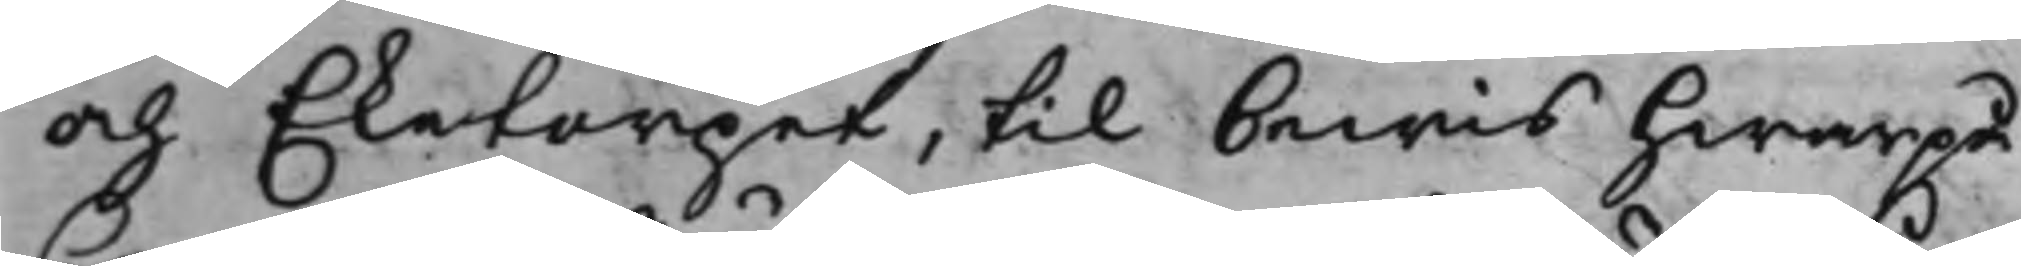och Eketorpet, til bewis hwarpå
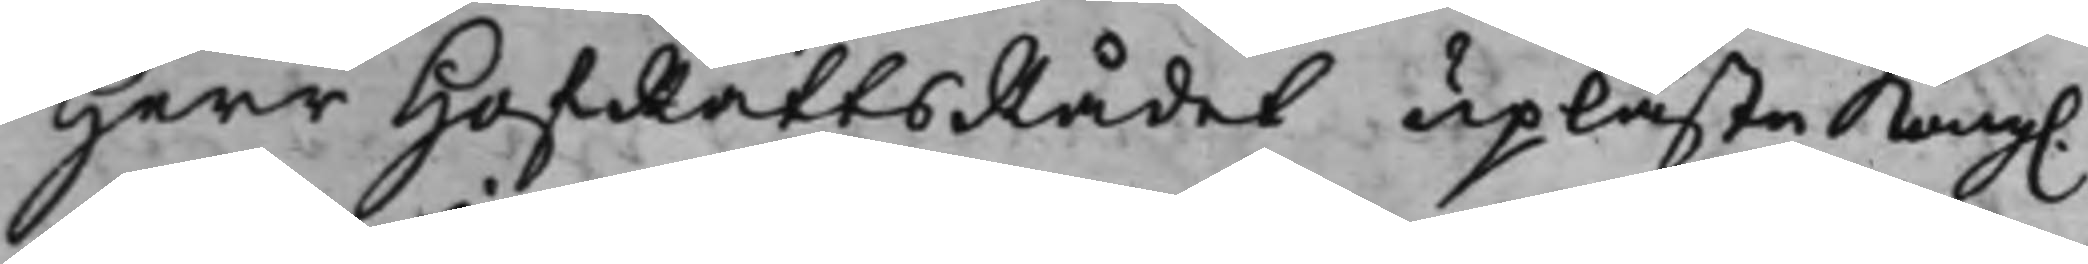Herr HofRättsRådet upläste Kong.
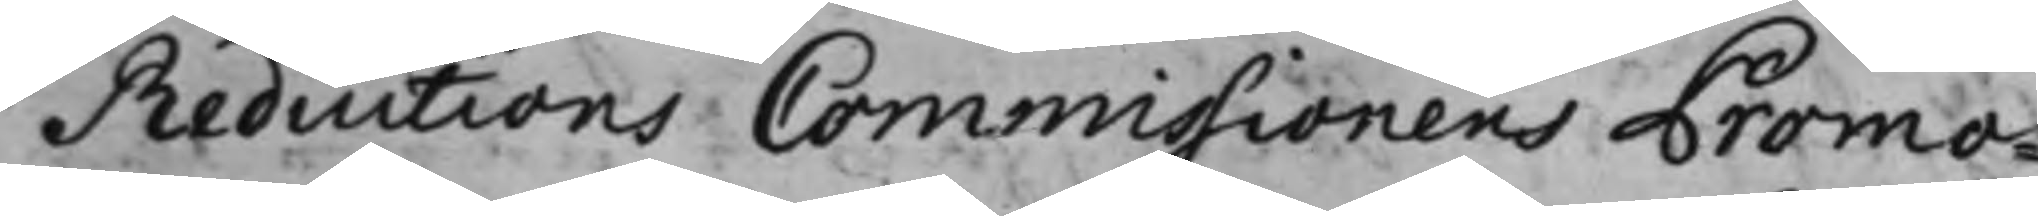Reductions Commissionens Promo¬
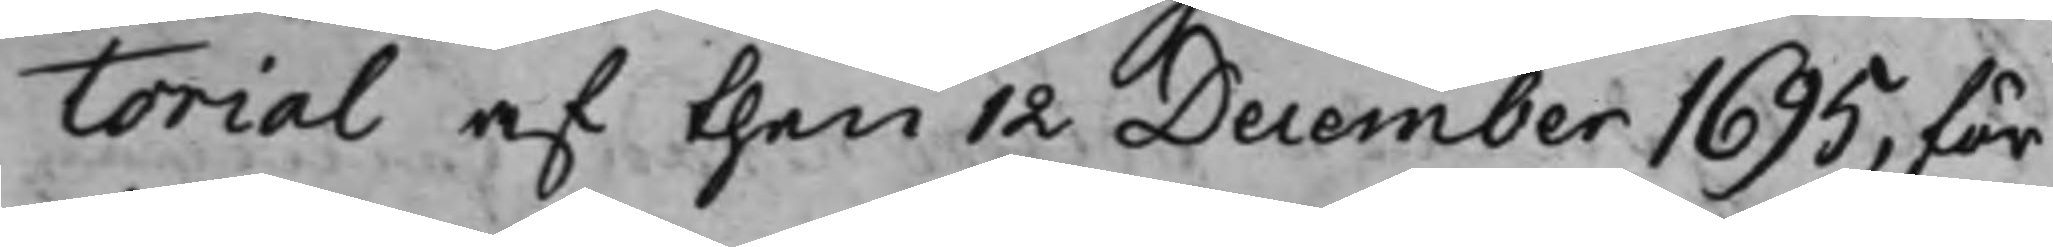torial af then 12 December 1695, för
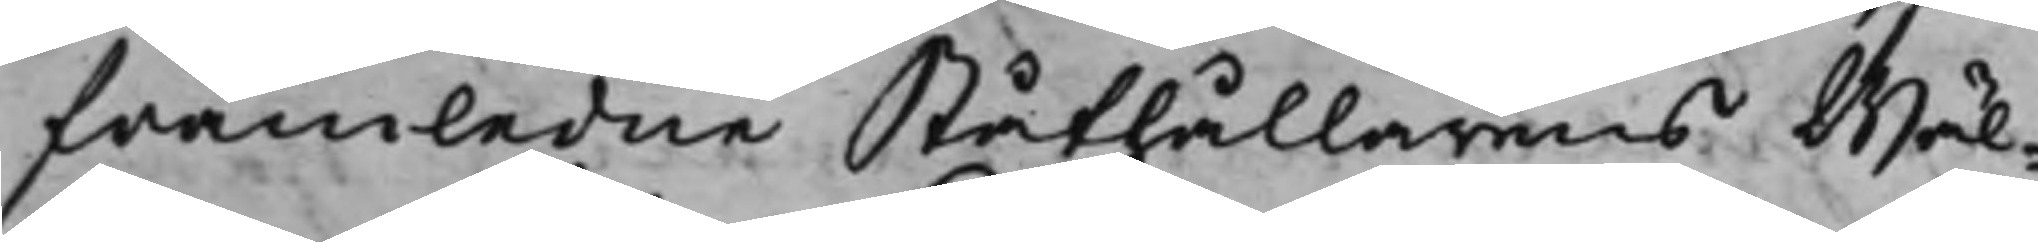framledne Ståthållarens Wäl¬
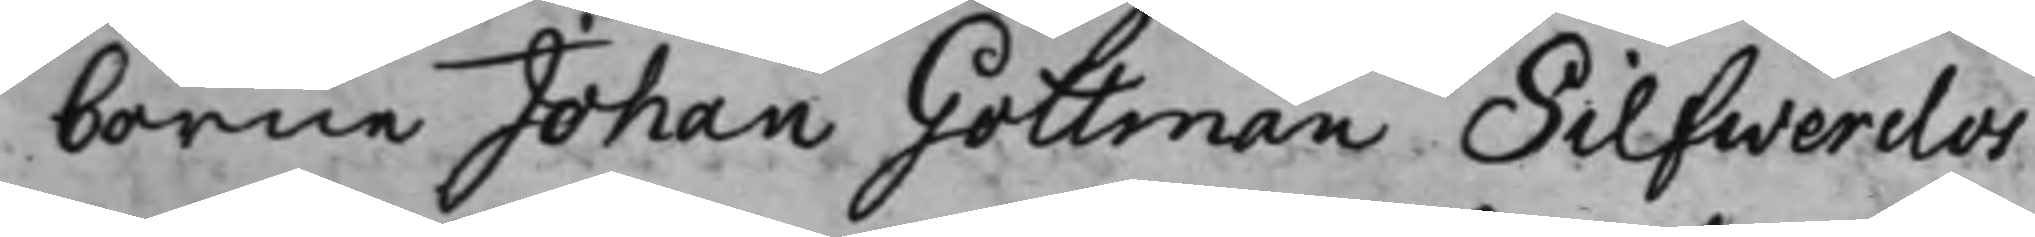borne Johan Gottman Silfwerclos
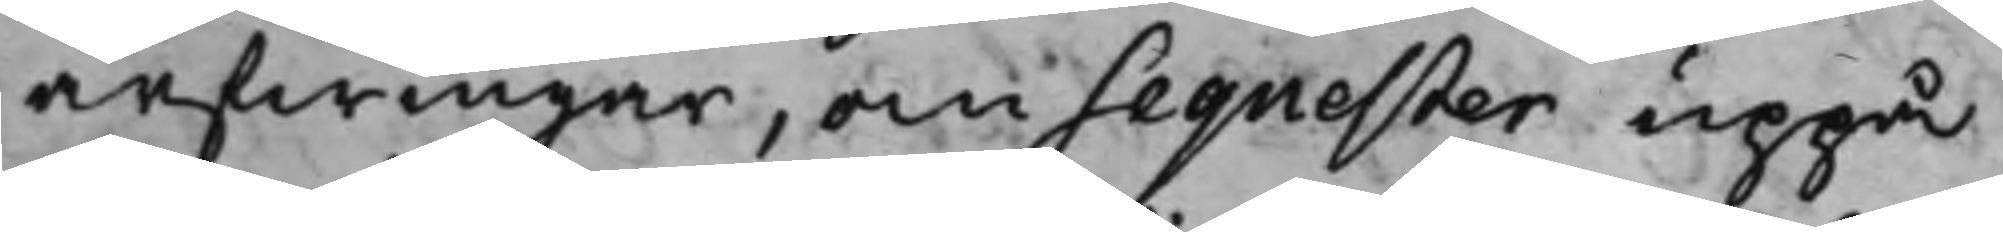arfwingar, om Sequester uppå
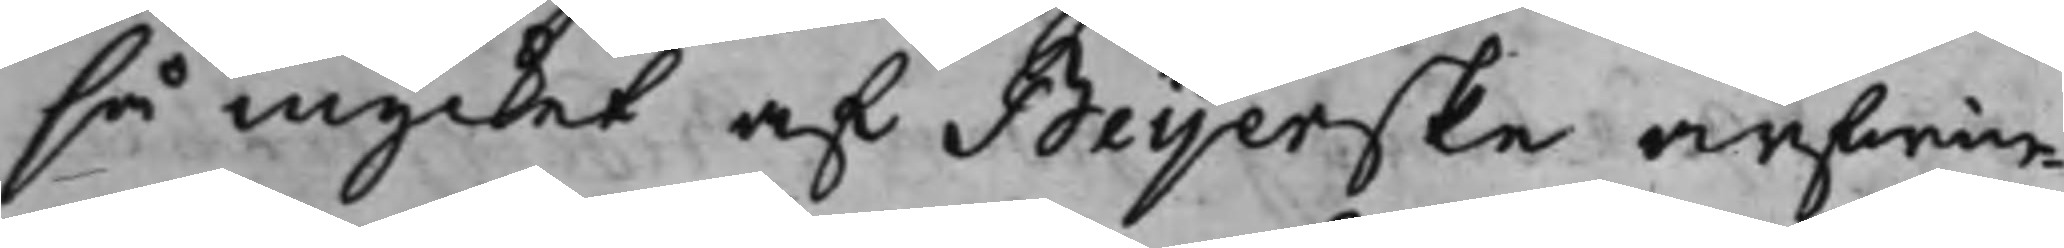så mycket af Beijerske arfwin¬
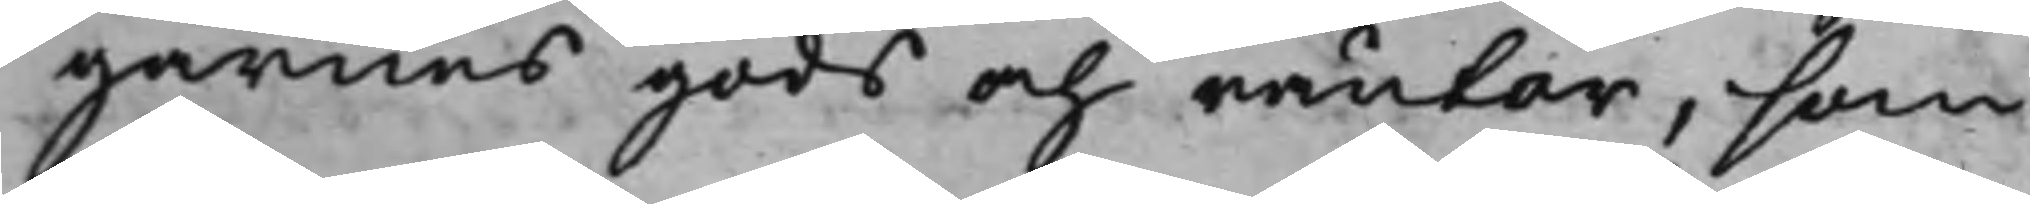garnes gods och räntor, som
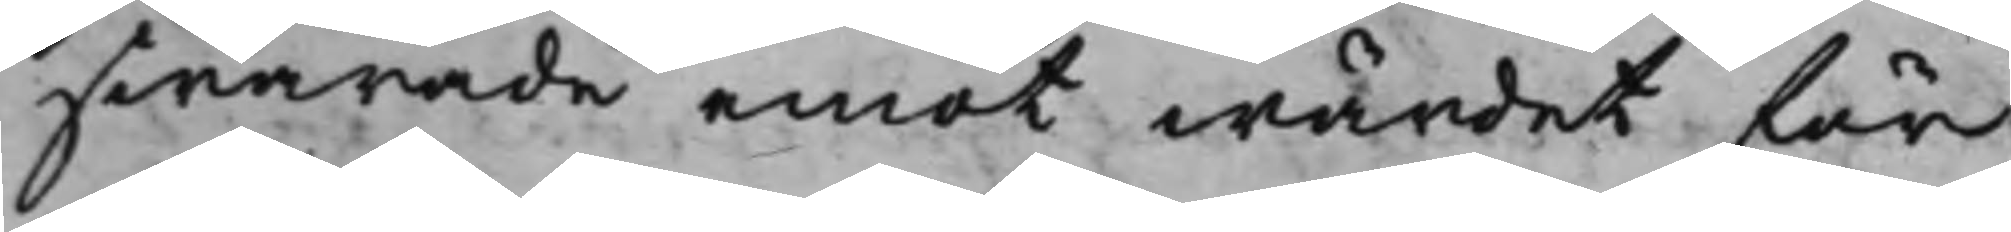swarade emot wärdet för
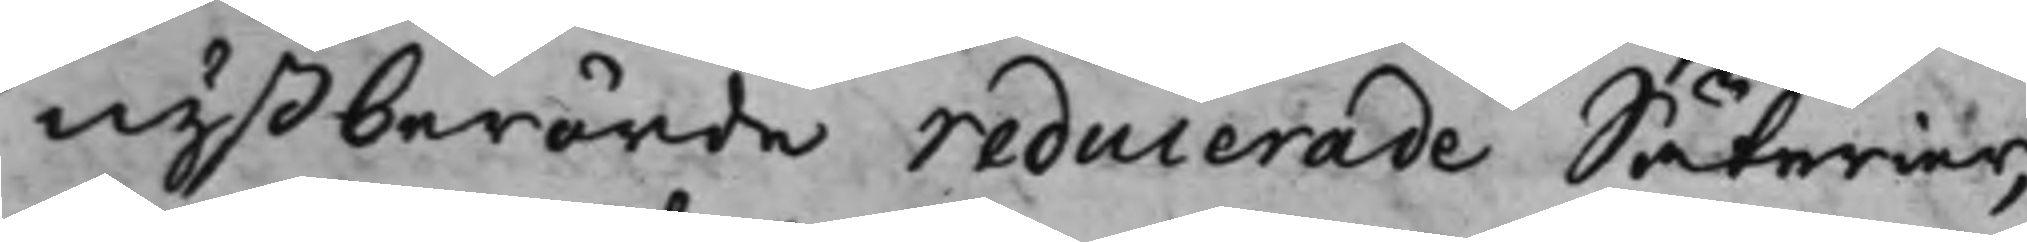nyßberörde reducerade Säterier,
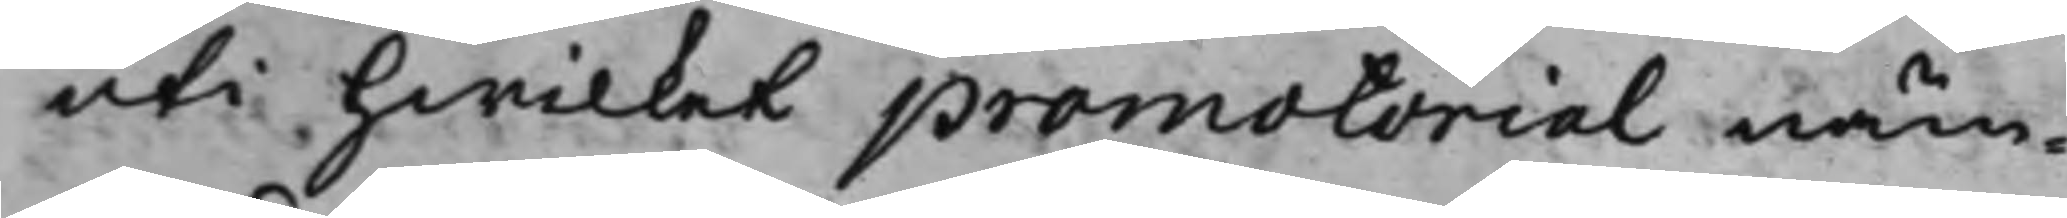uti hwilket promotorial näm¬
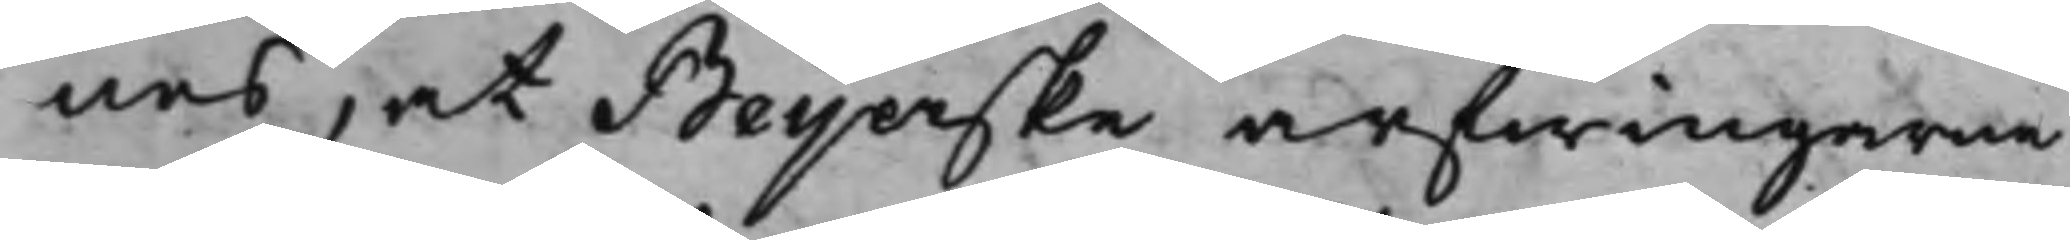nes, at Beijerske arfwingarne
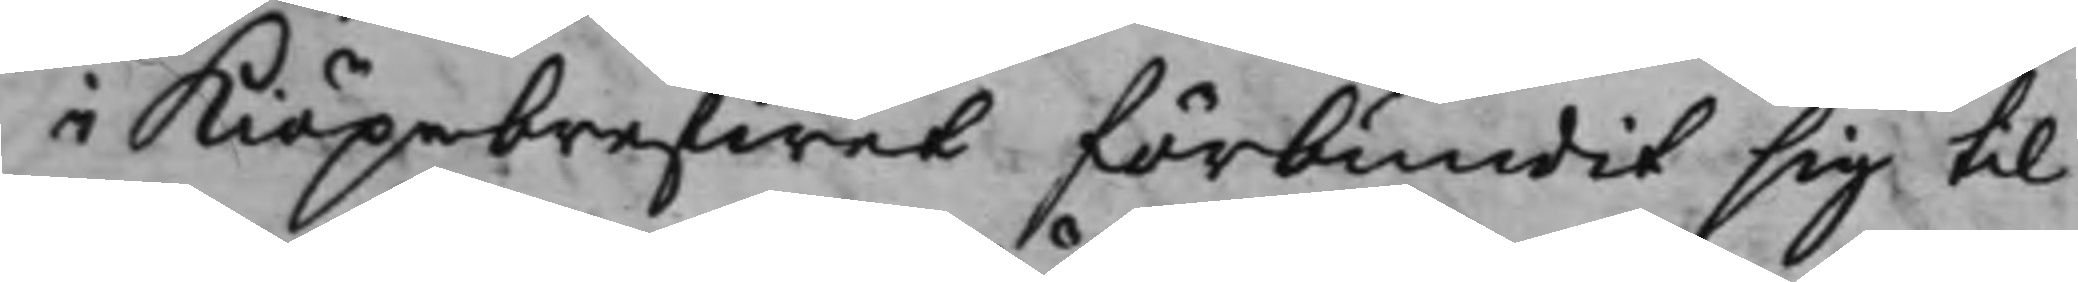i Kiöpebrefwet förbundit sig til
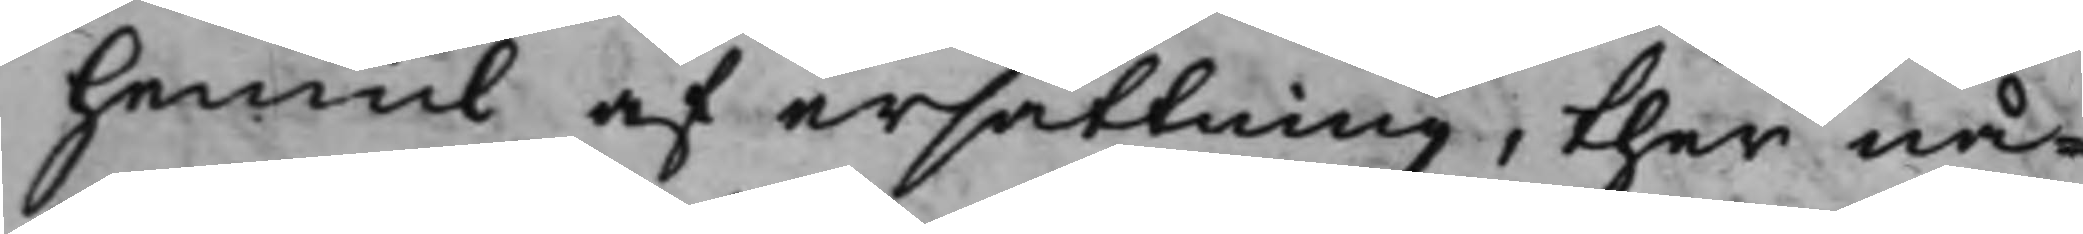hemul af ersättning, ther nå¬
